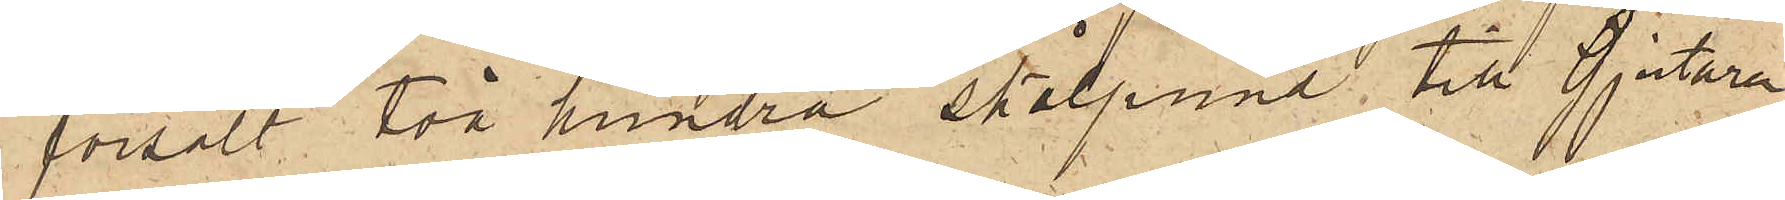försålt två hundra skålpund till Gjutaren
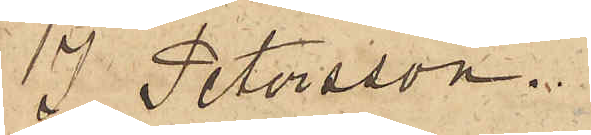J. Petersson.
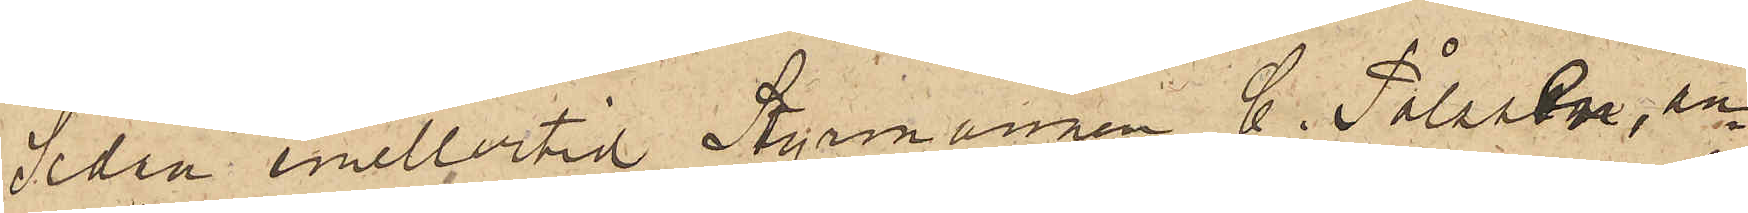Sedan emellertid Styrmannen C. Pålsson, an¬
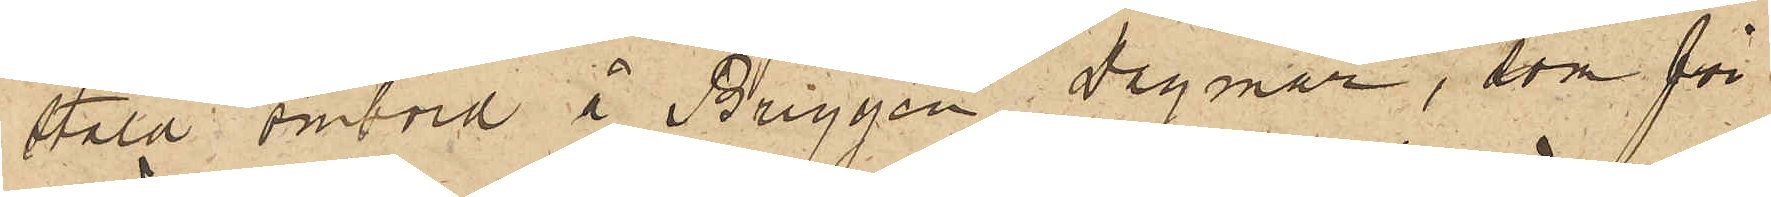stäld ombord i Briggen Dagmar, som för
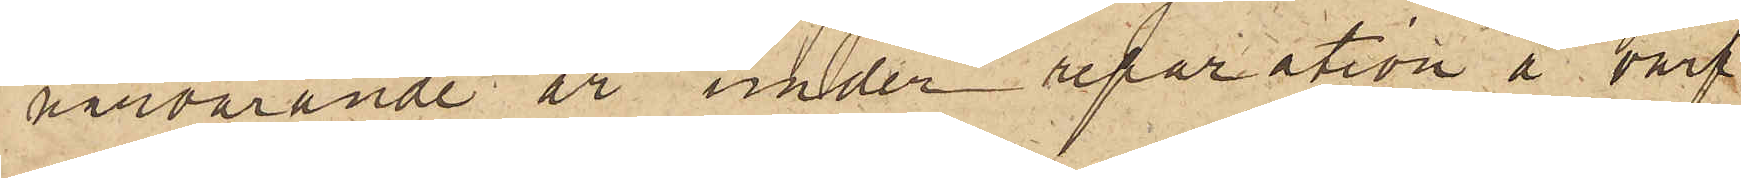närvarande är under reparation å varf¬
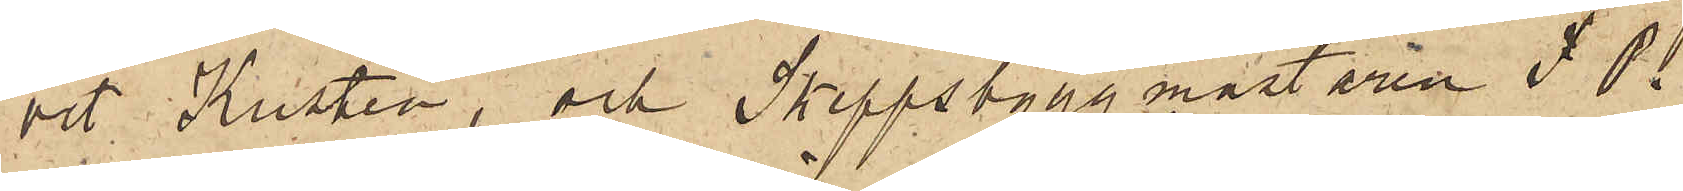vet Kusten, och Skeppsbyggmästaren F. P.
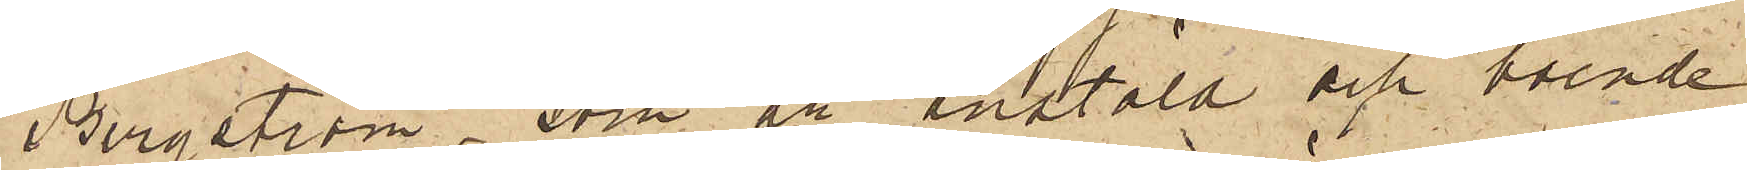Bergström, som är anstäld och boende
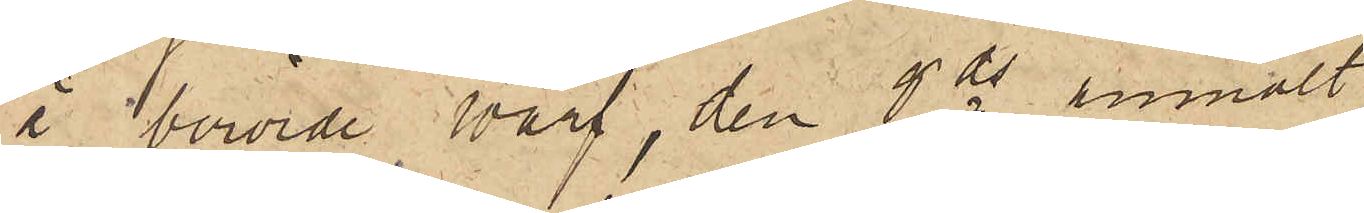å berörde Warf, den 6 ds anmält
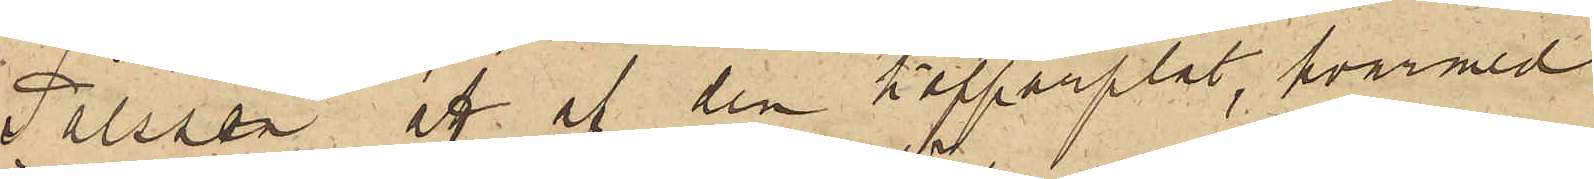Pålsson att af den kopparplåt, hvarmed
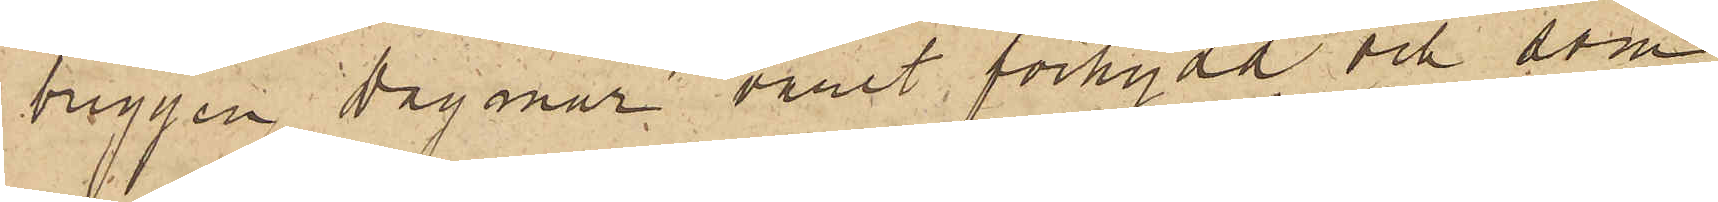briggen Dagmar varit förhydd och som
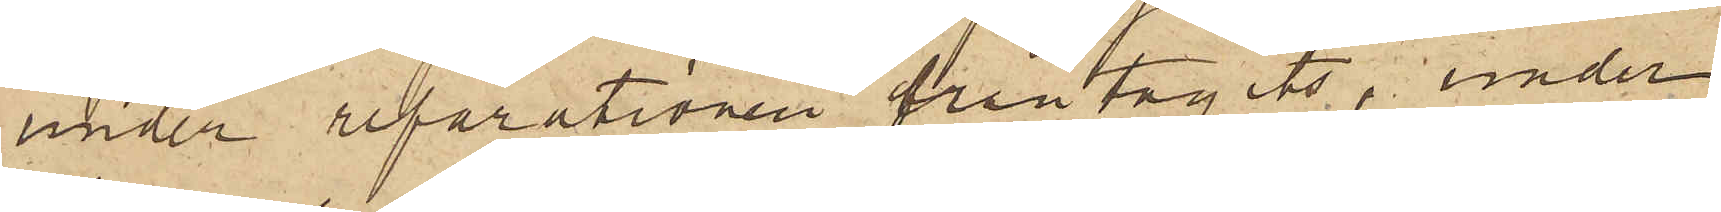under reparationen fråntagits, under
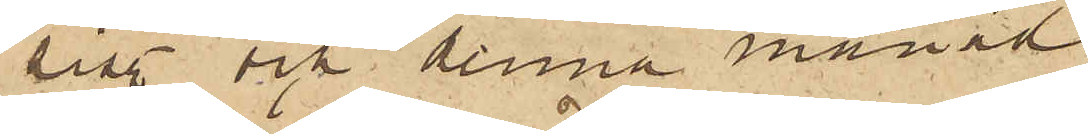sist. och denna månad
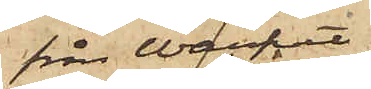från Warfvet
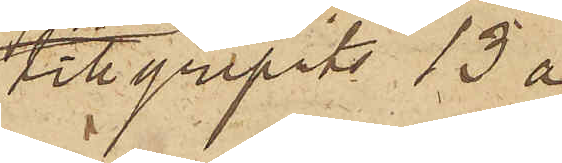tillgripits 13 à
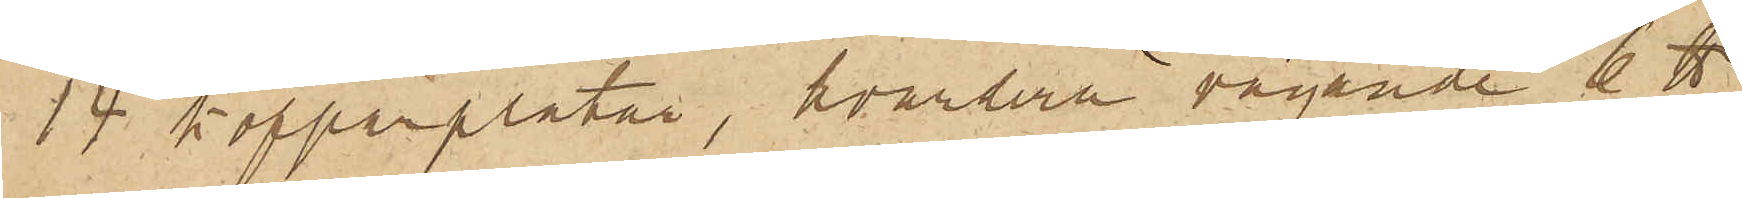14 kopparplåtar, hvardera vägande 6 ℔
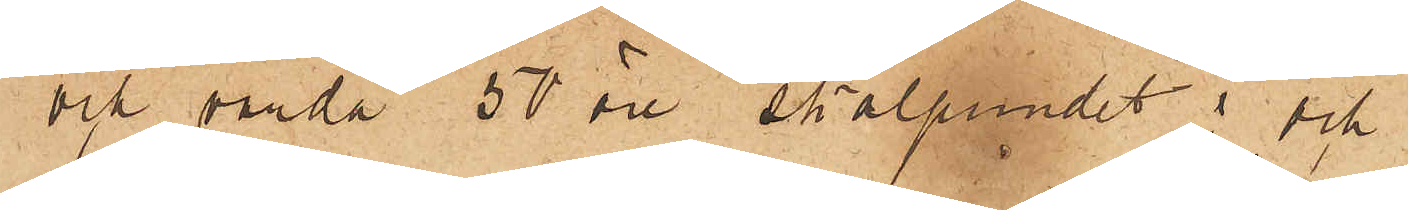och värda 50 öre skålpundet; och
